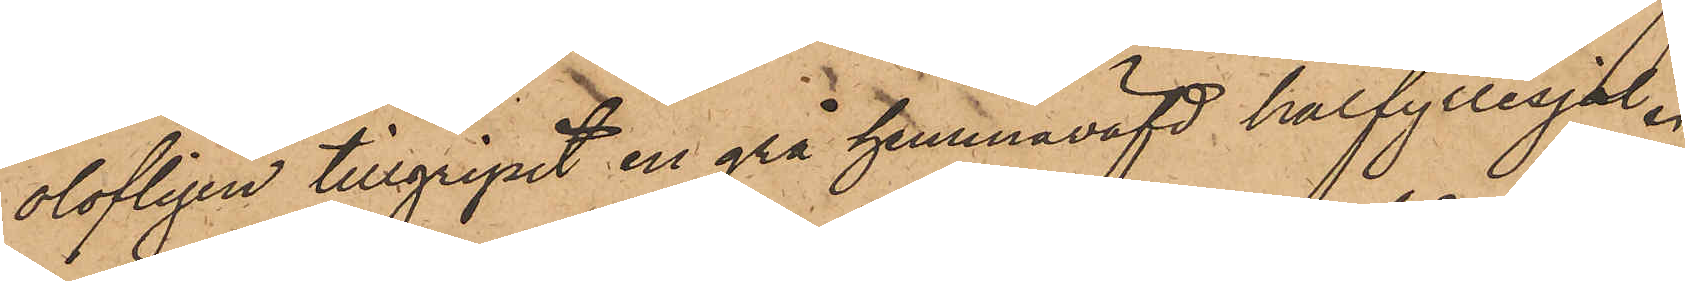olofligen tillgripit en grå hemmaväfd halfyllesjal.
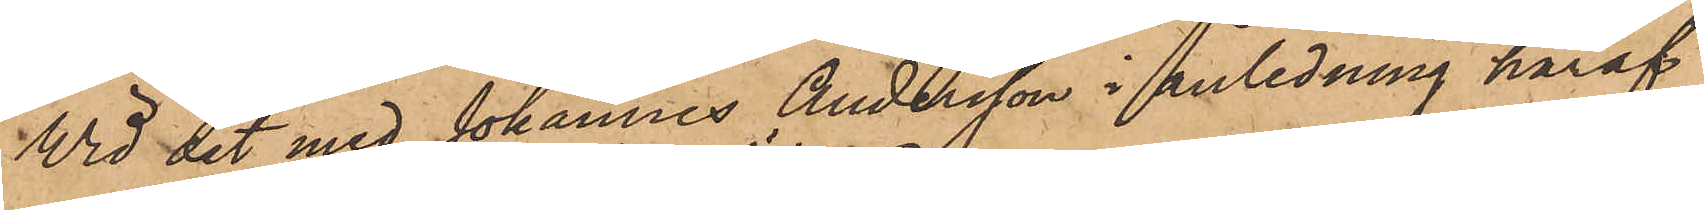Vid det med Johannes Andersson i anledning häraf
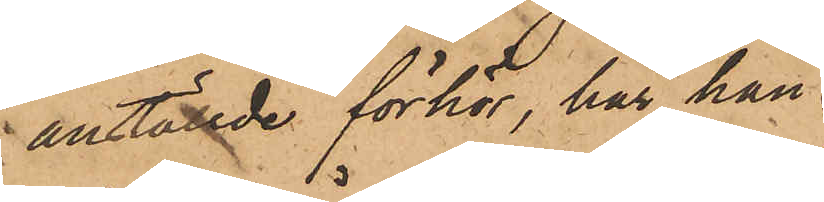anställde förhör, har han
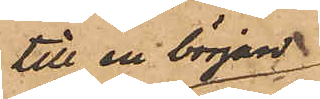till en början
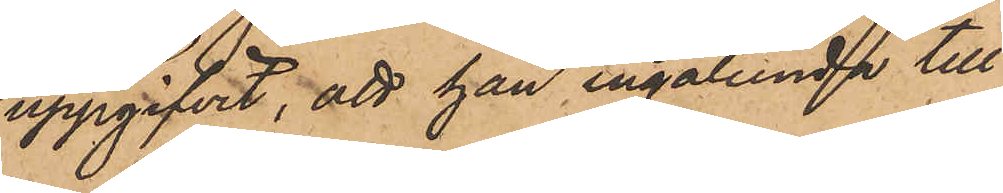uppgifvit, att han ingalunda till¬
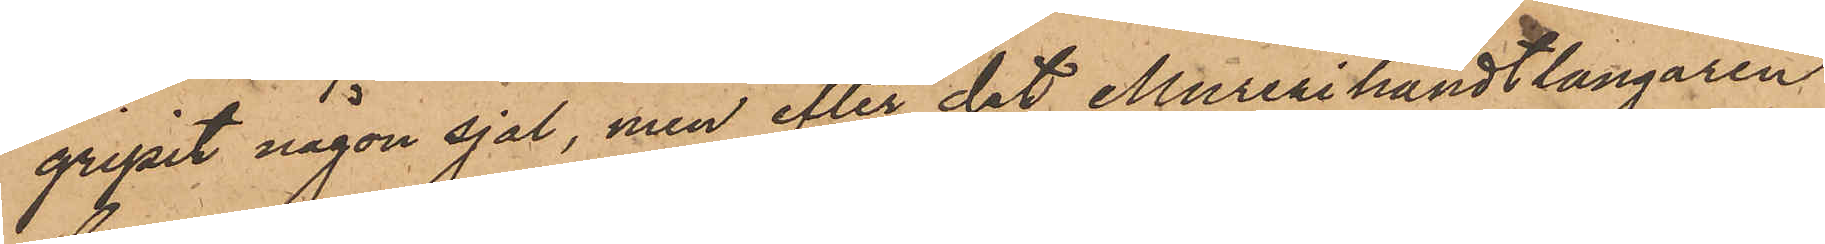gripit någon sjal, men efter det Murerihandtlangaren
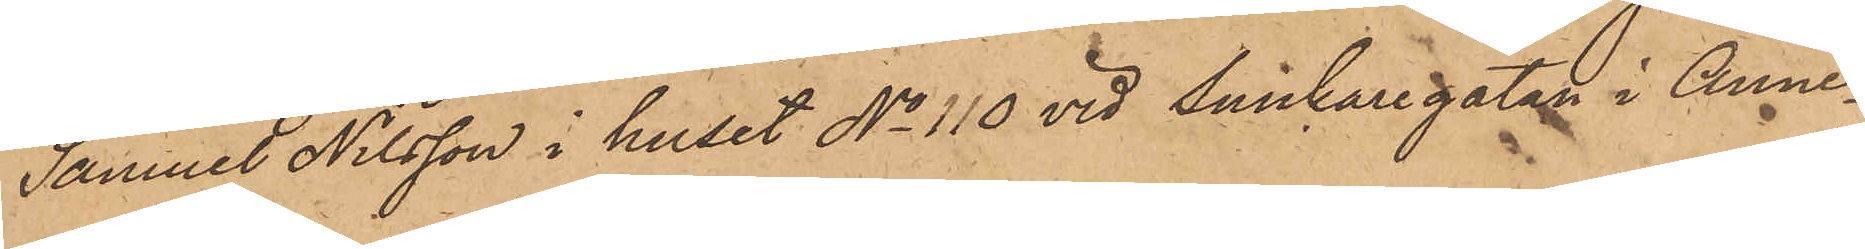Samuel Nilsson i huset No 110 vid Snickaregatan i Anne¬
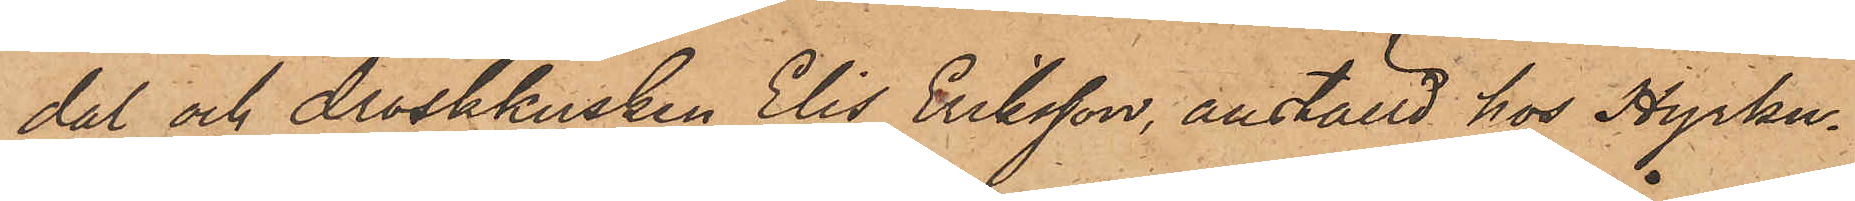dal och droskkusken Elis Eriksson, anställd hos Hyrku¬
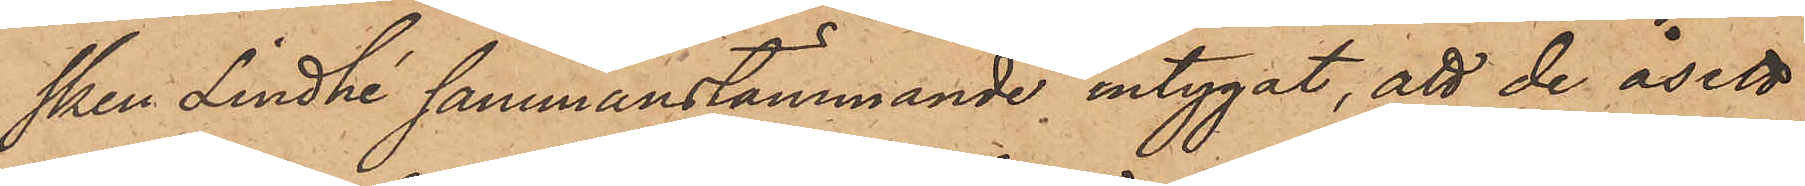sken Lindhé sammanstämmande intygat, att de åsett
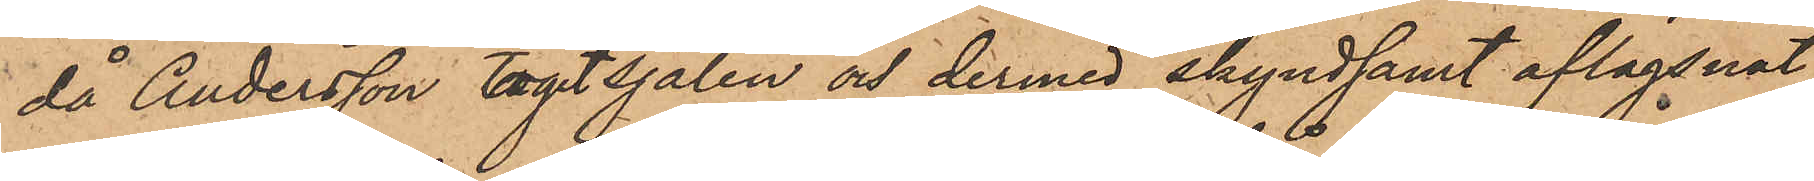då Andersson tagit sjalen och dermed skyndsamt aflägsnat
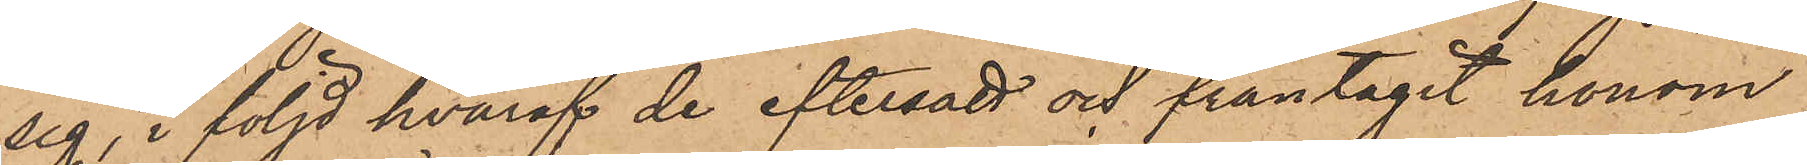sig, i följd hvaraf de eftersatt och fråntagit honom
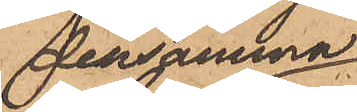densamma
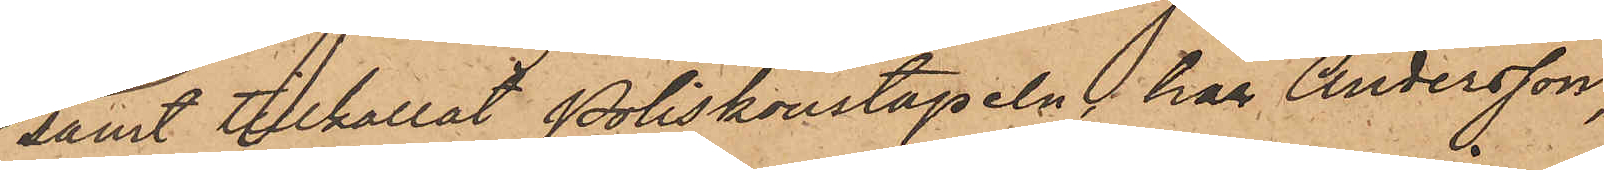samt tillkallat Poliskonstapeln, har Andersson,
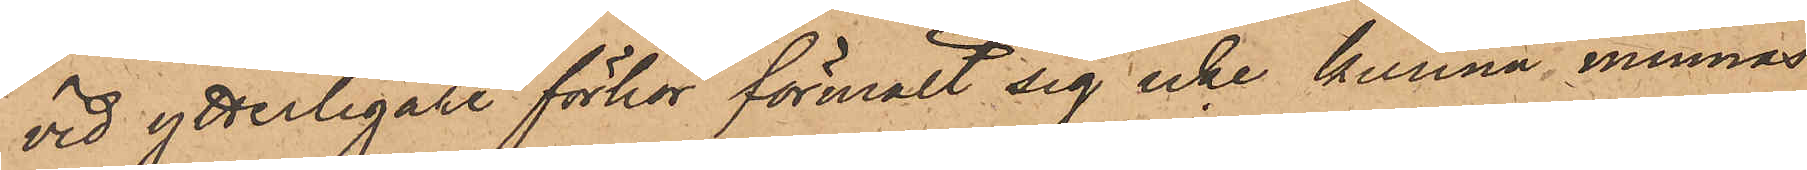vid ytterligare förhör förmält sig icke kunna minnas
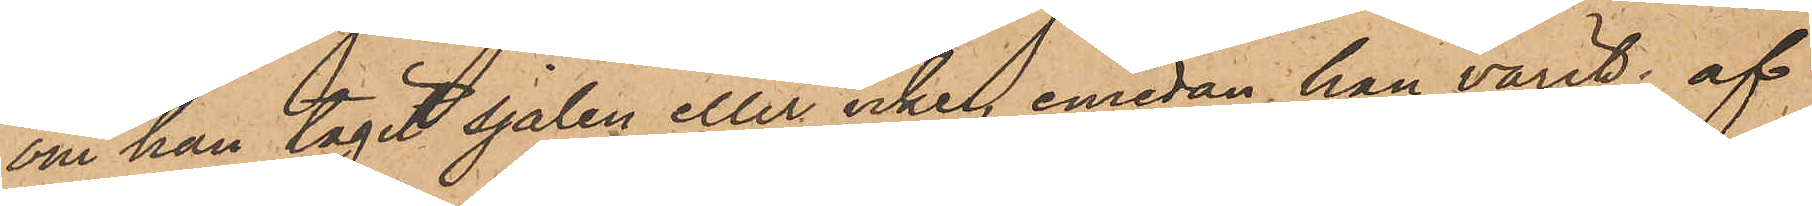om han tagit sjalen eller icke, emedan han varit af
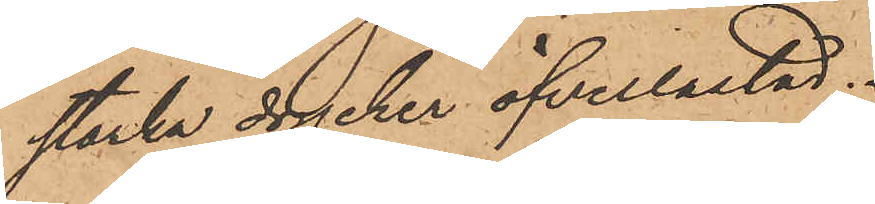starka drycker öfverlastad.
